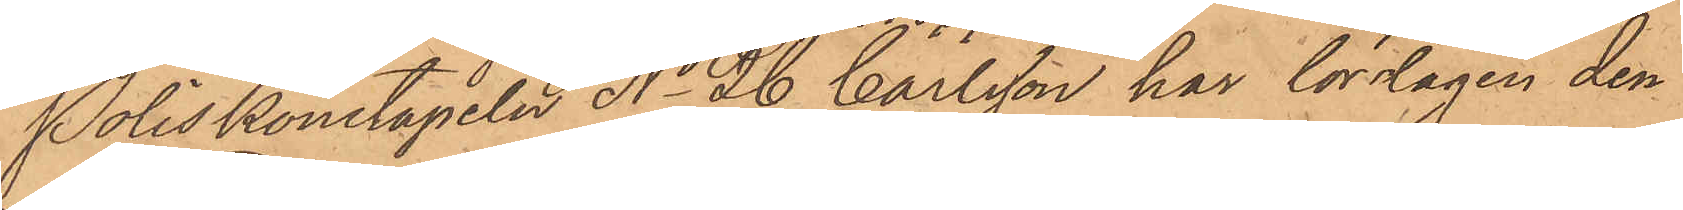Poliskonstapeln No 26 Carlsson har lördagen den
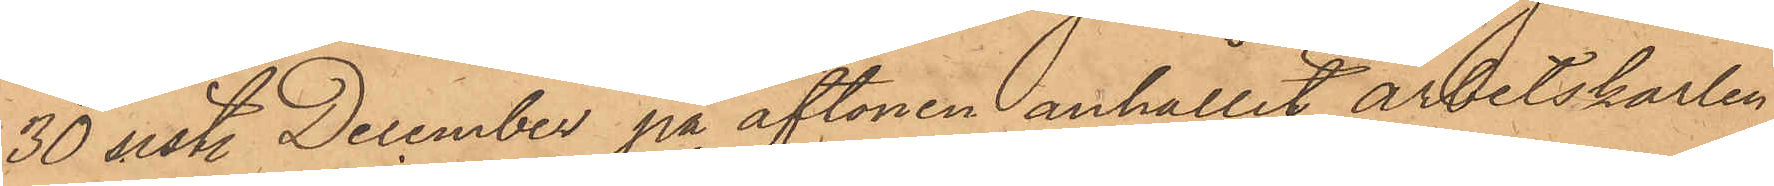30 sistl December på aftonen anhållit arbetskarlen
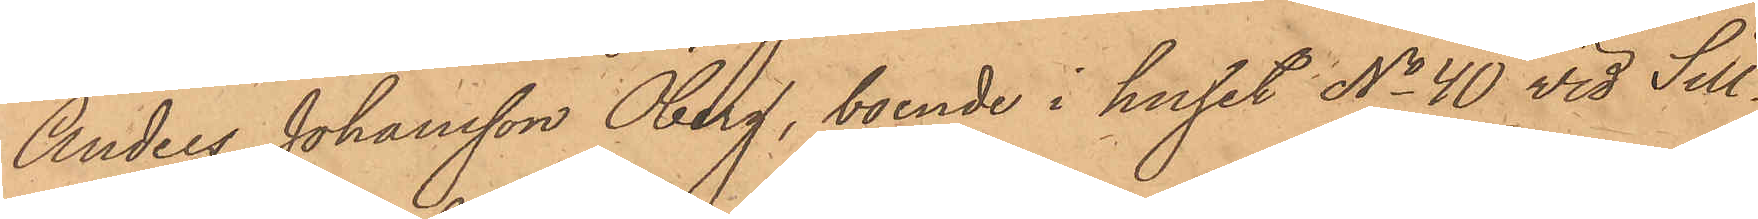Anders Johansson Öberg, boende i huset No 40 vid Sill¬
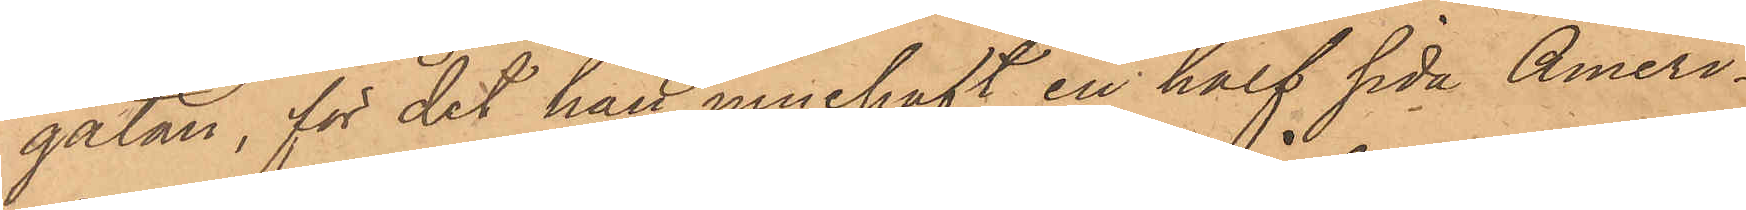gatan, för det han innehaft en half sida Ameri¬
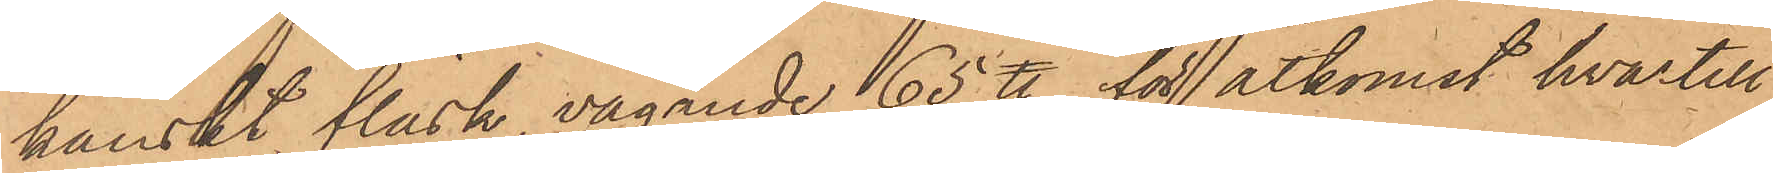kanskt fläsk, vägande 65 ℔, för åtkomst hvartill
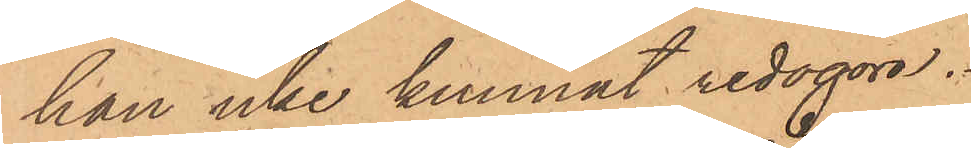han icke kunnat redogöra.
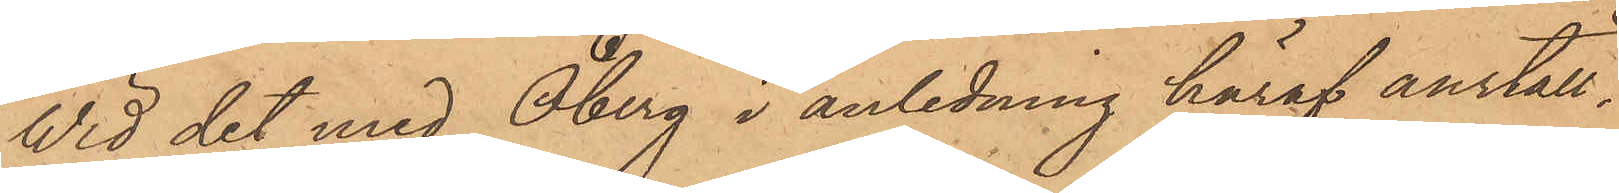Wid det med Öberg i anledning häraf anställ¬
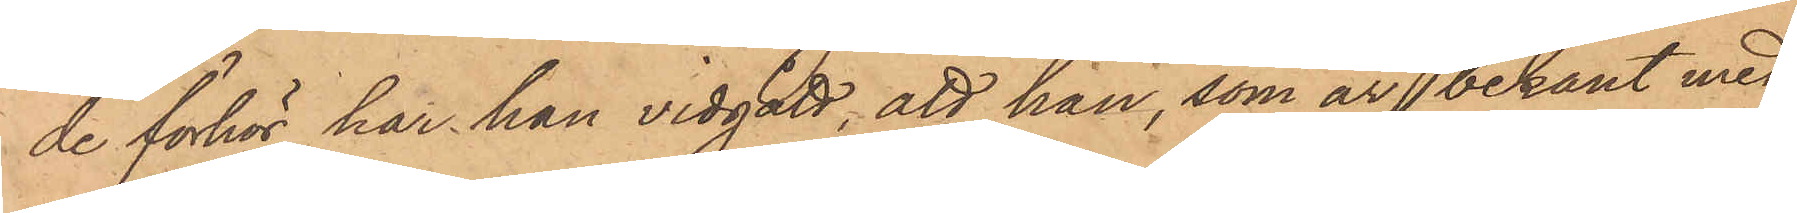de förhör har han vidgått, att han, som är bekant med
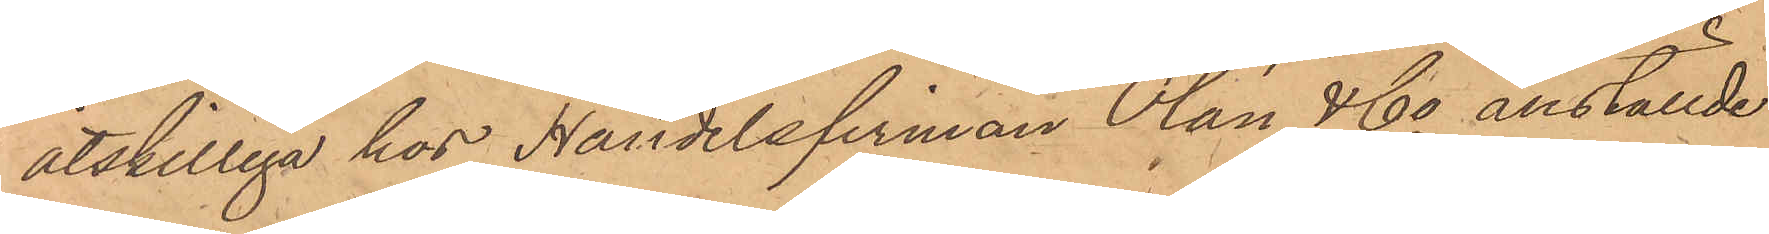åtskilliga hos Handelsfirman Olán & Co anställde
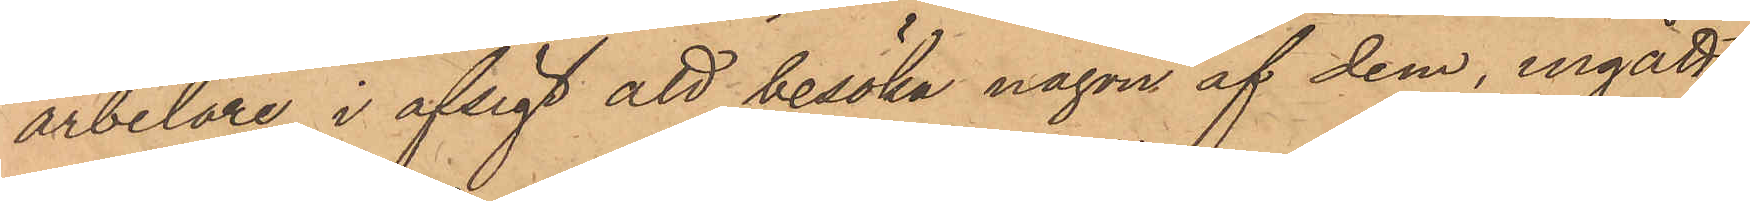arbetare, i afsigt att besöka någon af dem, ingått
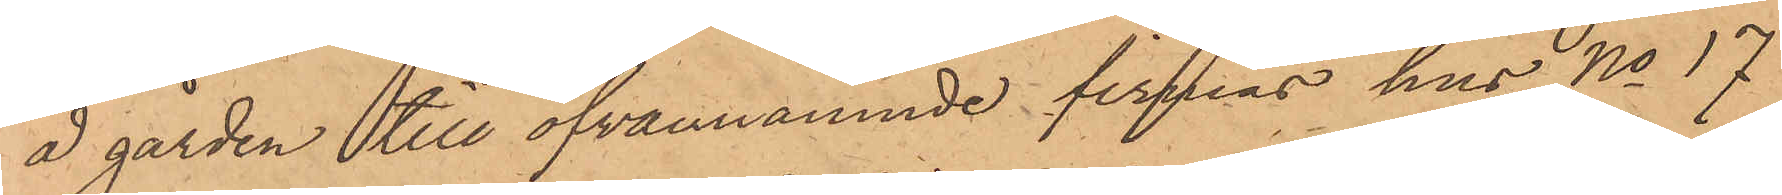å gården till ofvannämnde firmas hus No 17
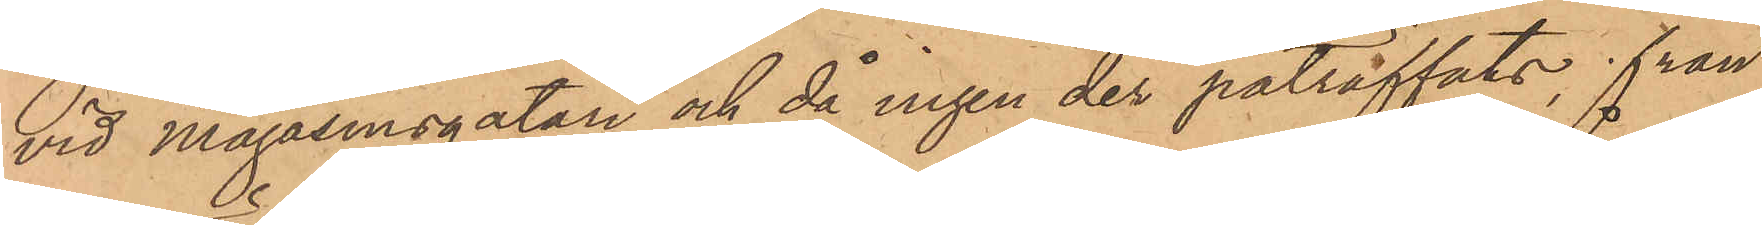vid Magasinsgatan och då ingen der påträffats, från
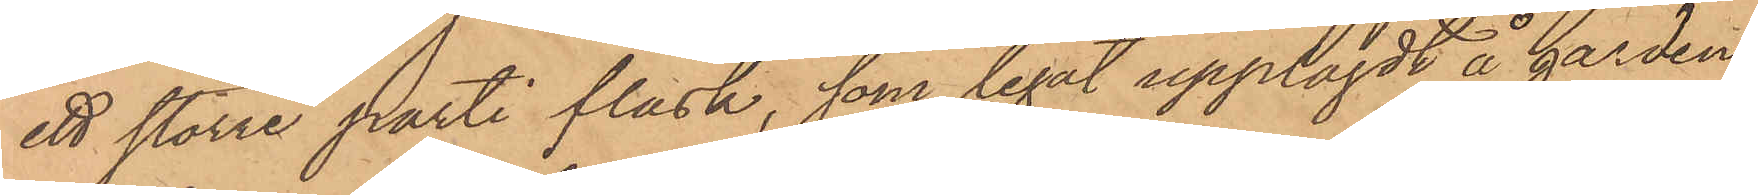ett större parti fläsk, som legat upplagdt å gården,
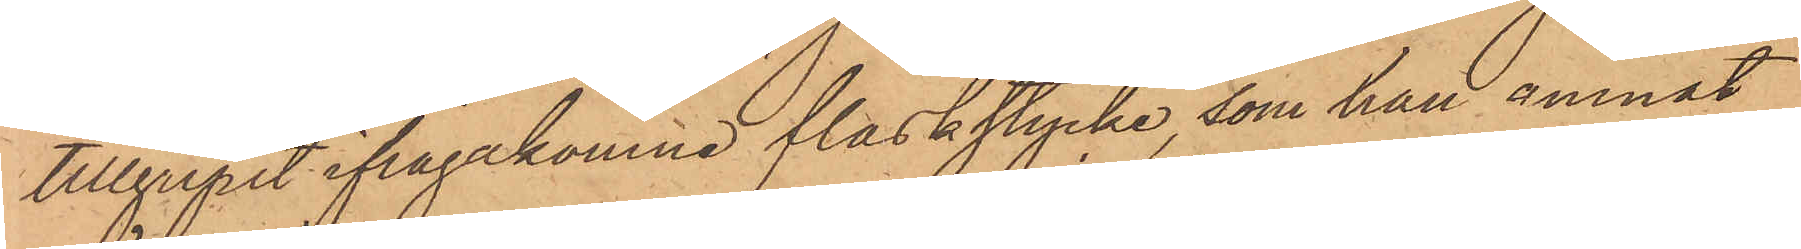tillgripit ifrågakomne fläskstycke, som han ämnat
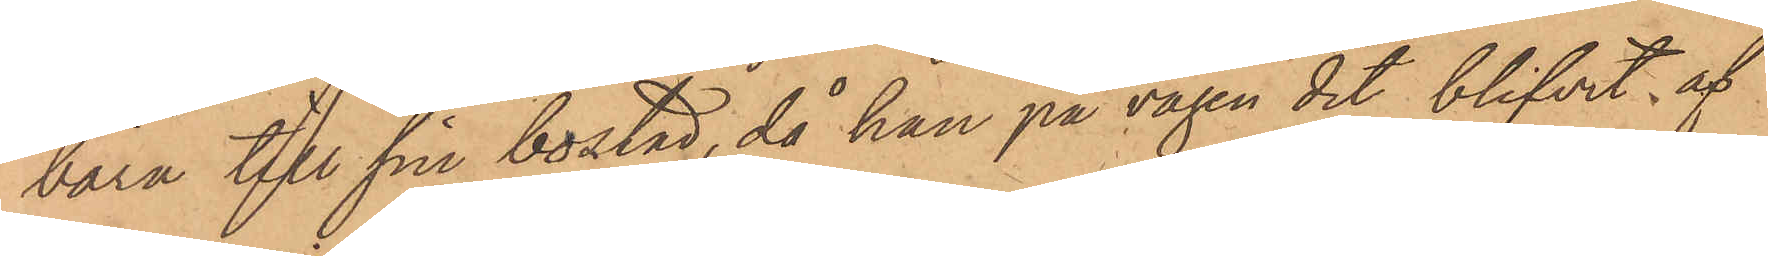bära till sin bostad, då han på vägen dit blifvit af
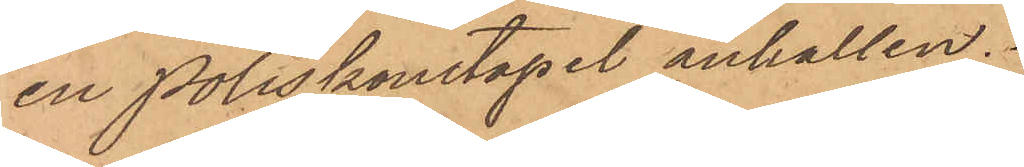en Poliskonstapel anhållen.
